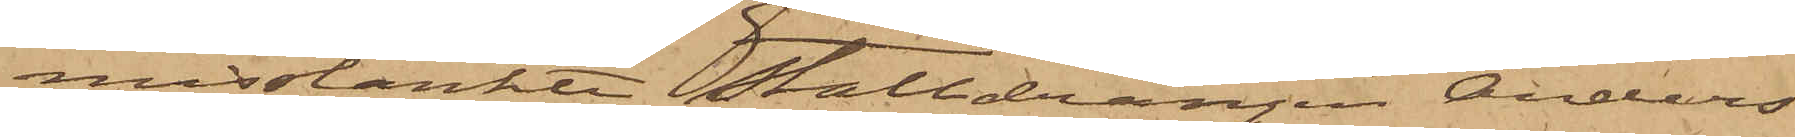misstänkte stalldrängen Anders
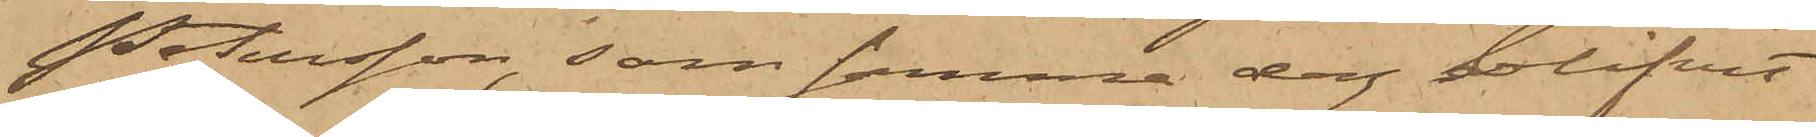Petersson, som samma dag blifvit
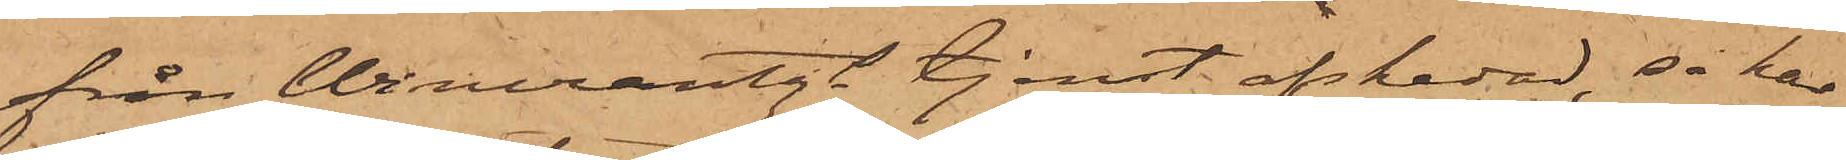från Wincrantzs tjenst afskedad, så har
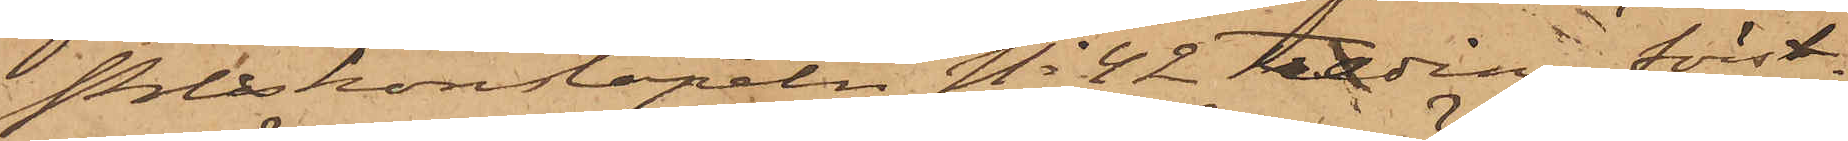Poliskonstapeln No 42 Freding först¬
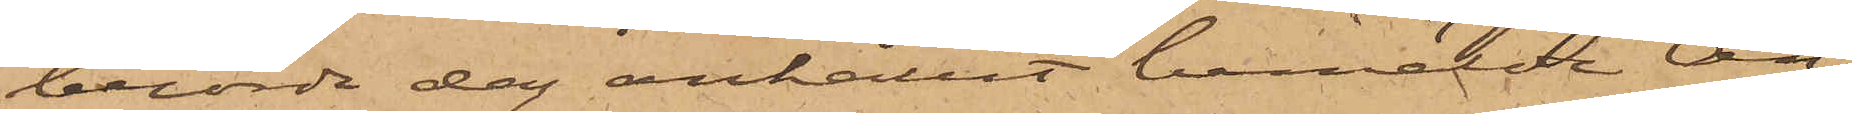berörde dag anhållit bemälde An¬
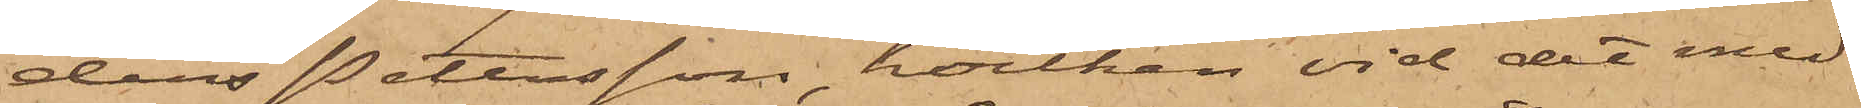ders Pettersson, hvilken vid det med
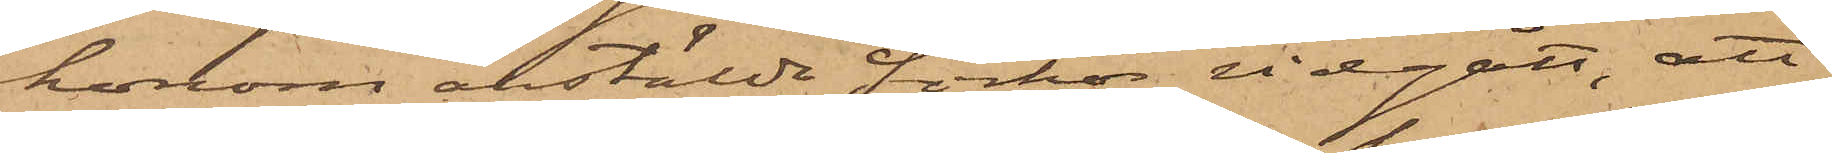honom anstälde förhör vidgått, att
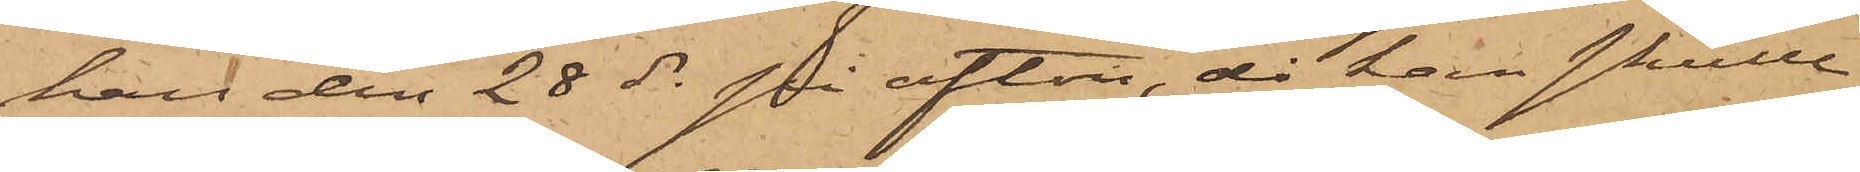han den 28 ds på afton, då han skulle
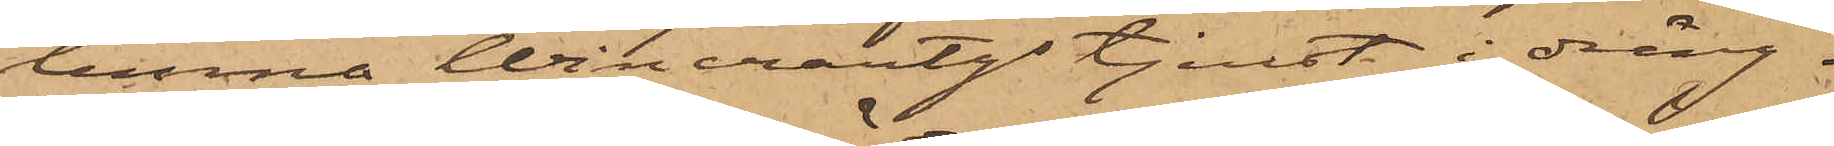lemna Wincrantzs tjenst, i dräng¬
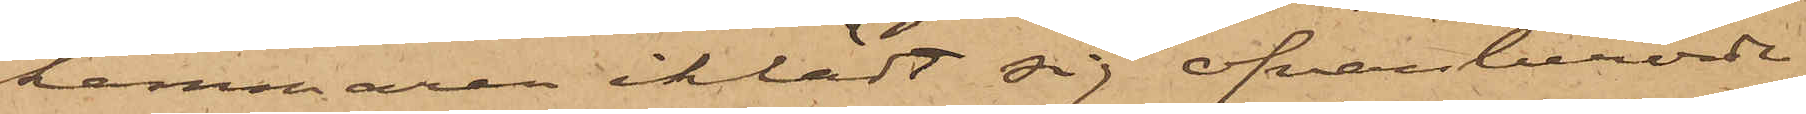kammaren iklädt sig ofvanberörde
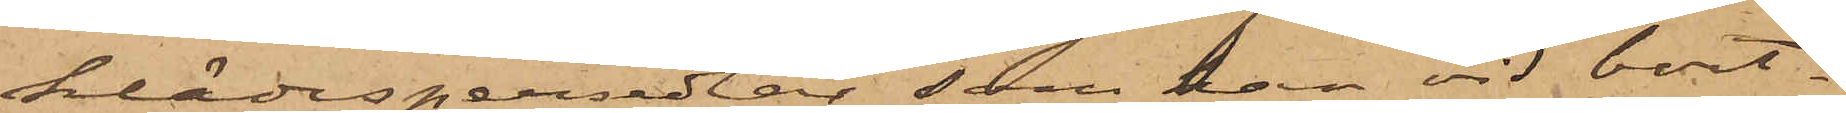klädespersedlar, som han vid bort¬
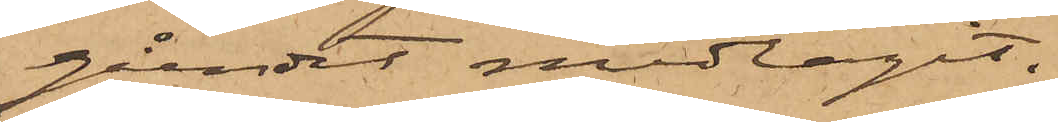gåendet medtagit.
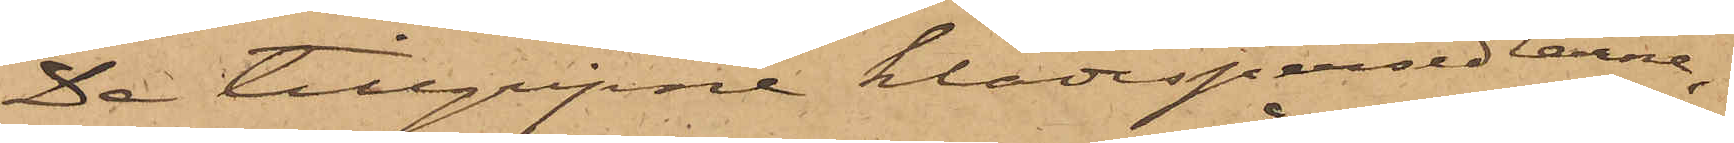De tillgripne klädespersedlarne,
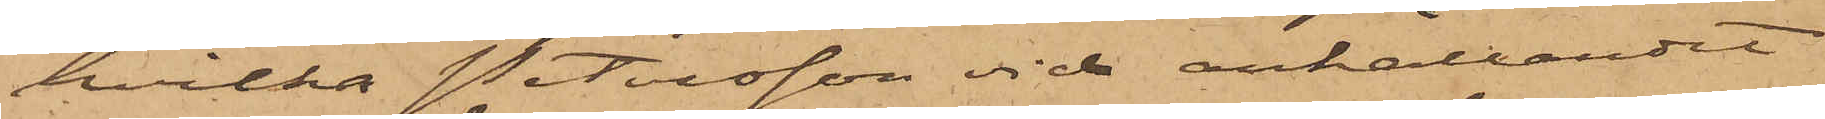hvilka Petersson vid anhållandet
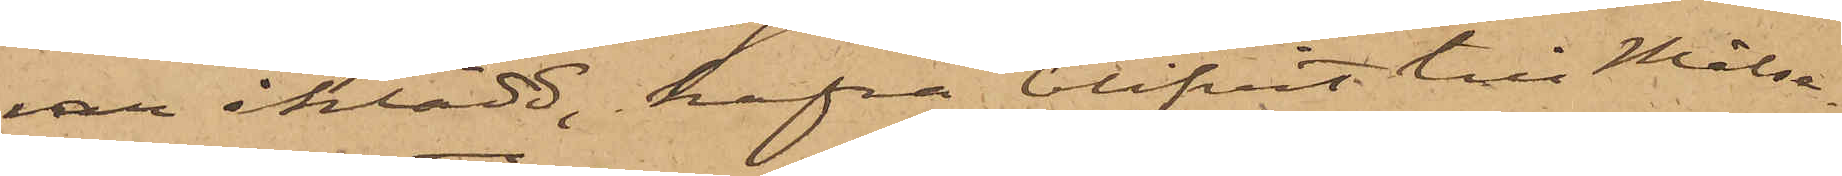var iklädd, hafva blifvit till Målse¬
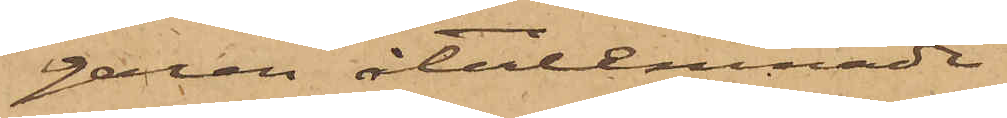garen återlemnade.
